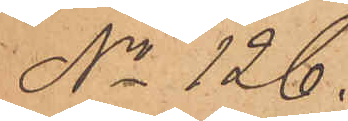No 126.
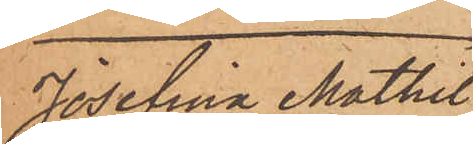Josefina Mathil¬
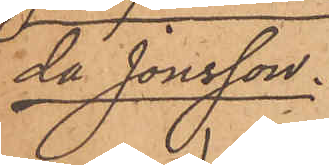da Jonsson.
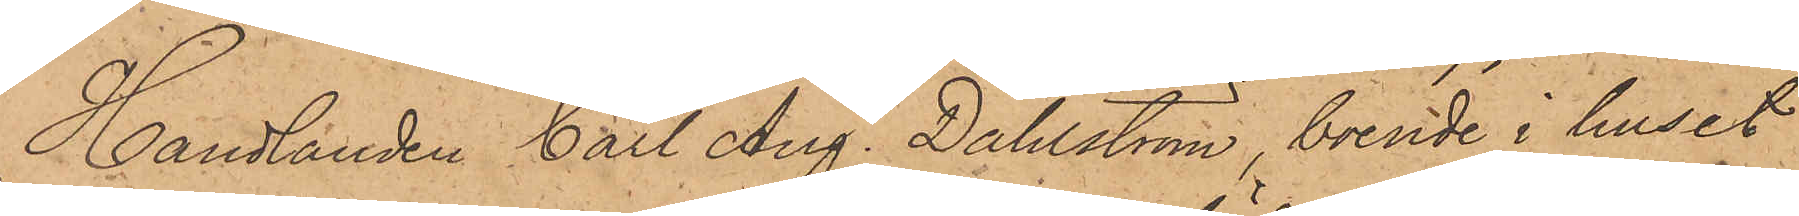Handlanden Carl Aug. Dahlström, boende i huset
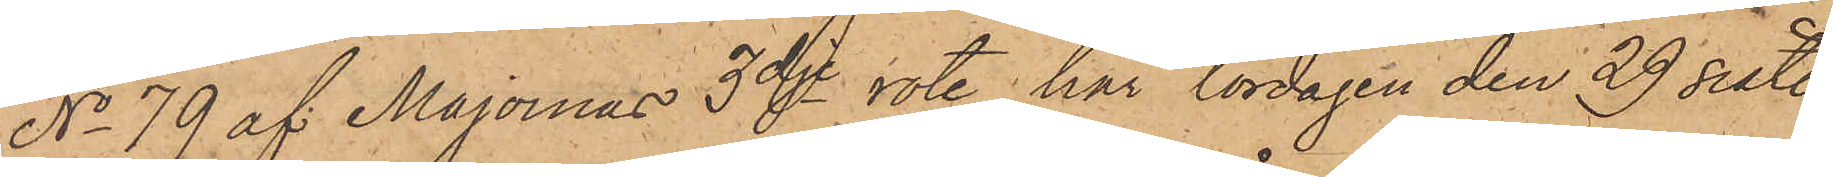No 79 af Majornas 3dje rote, har lördagen den 29 sist.
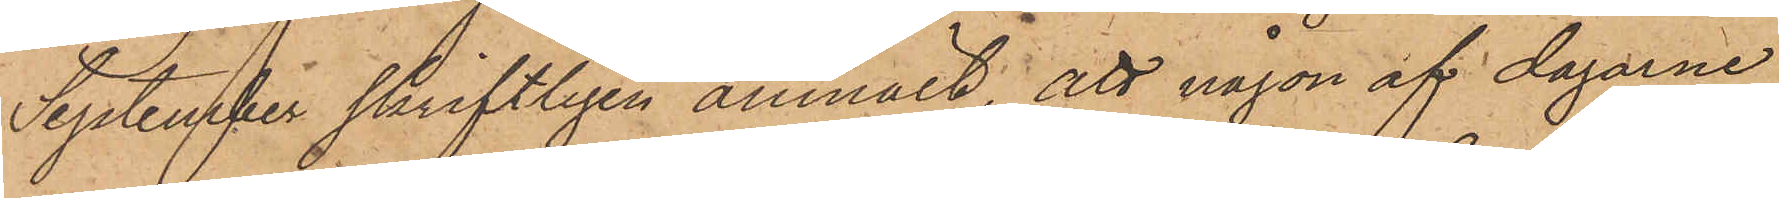September skriftligen anmält, att någon af dagarne
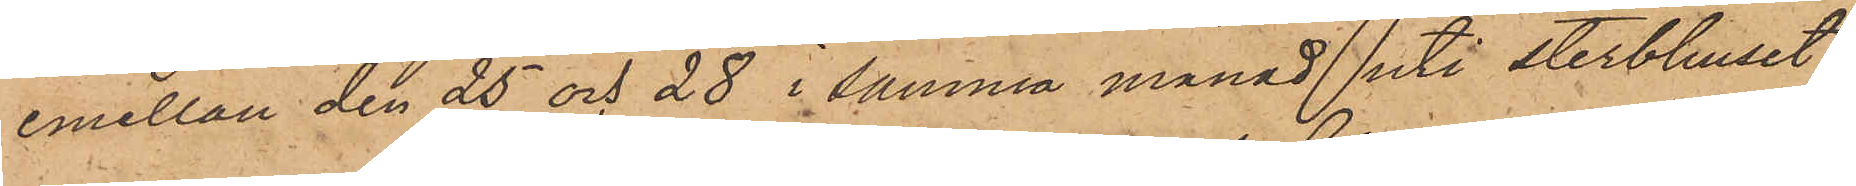emellan den 25 och 28 i samma månad uti sterbhuset
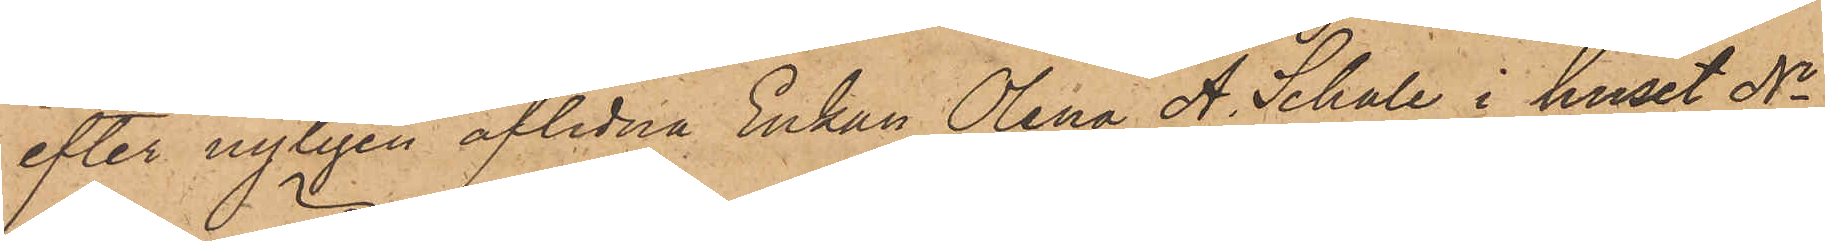efter nyligen aflidna Enkan Olena A. Schale i huset No
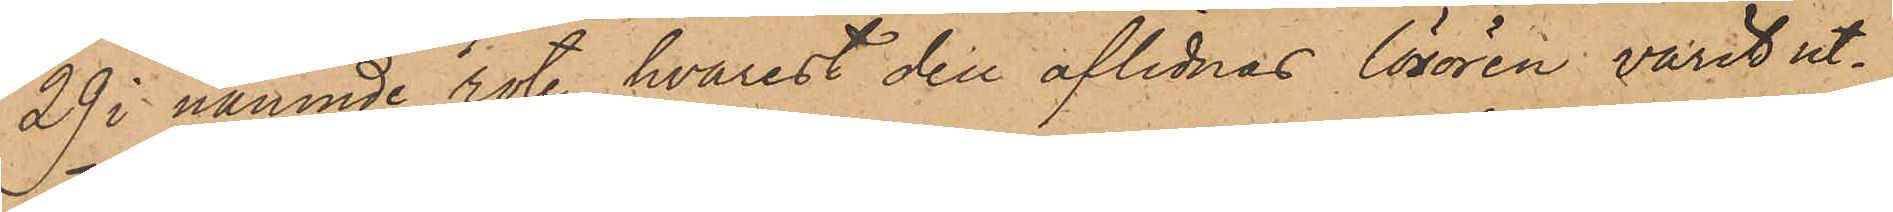29 i nämnde rote, hvarest den aflidnas lösören varit ut¬
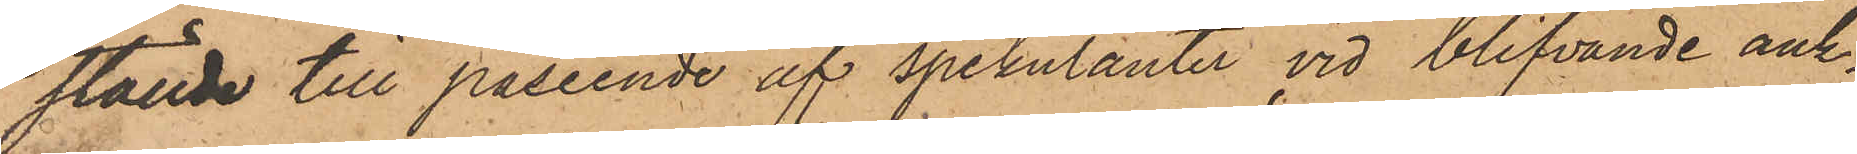ställde till påseende af spekulanter vid blifvande auk¬
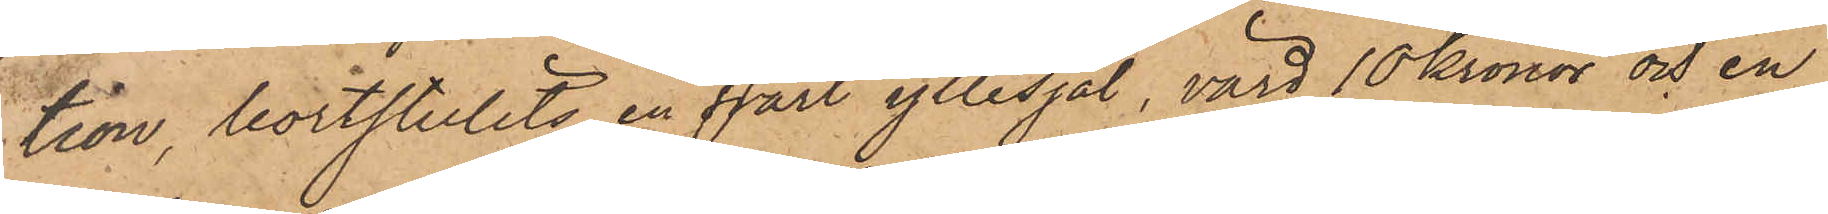tion, bortstulits en svart yllesjal, värd 10 Kronor och en
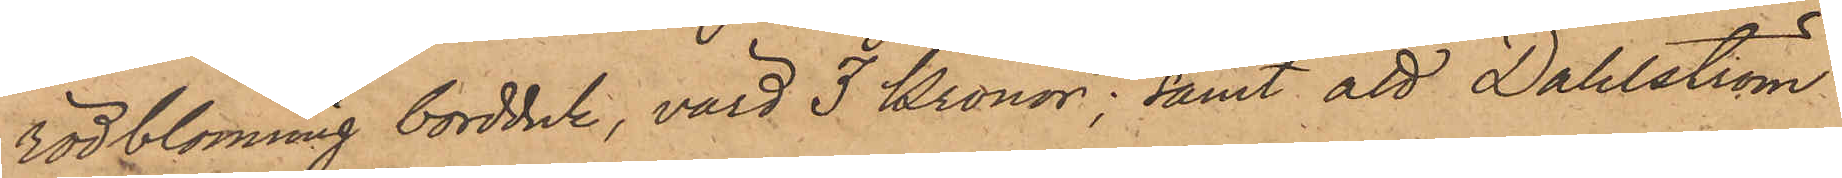rödblommig bordduk, värd 3 Kronor; samt att Dahlström
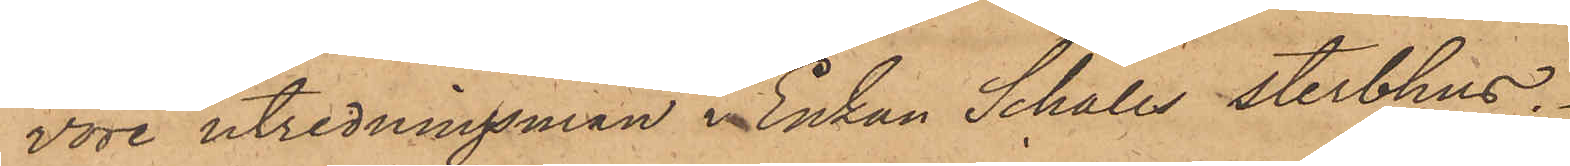vore utredningsman i Enkan Schales sterbhus.
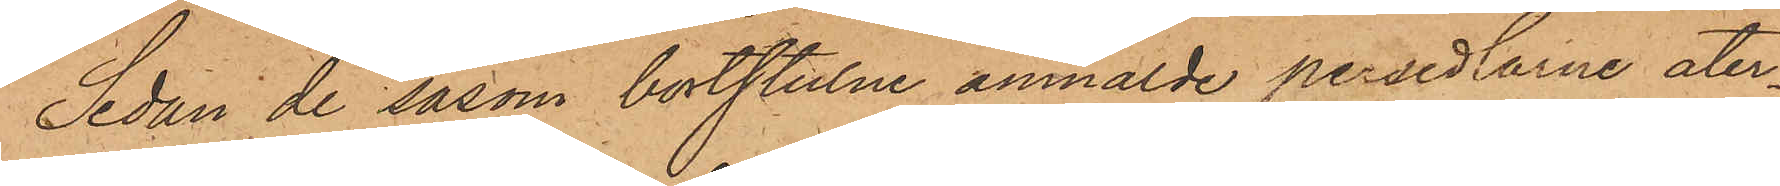Sedan de såsom bortstulne anmälde persedlarne åter¬
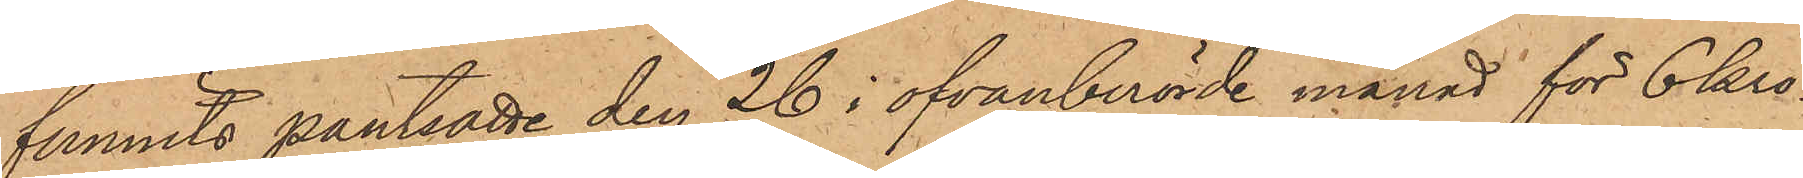funnits pantsatte den 26 i ofvanberörde månad för 6 Kro¬
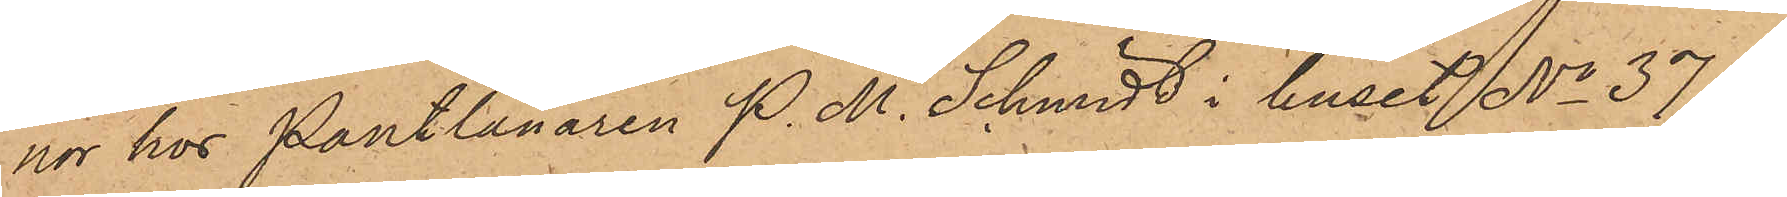nor hos Pantlånaren P. M. Schmidt i huset No 37 
